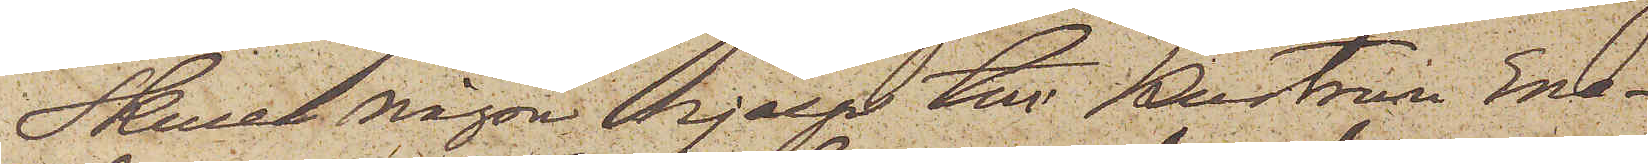Skulle någon hjelp till Hustrun Ene¬
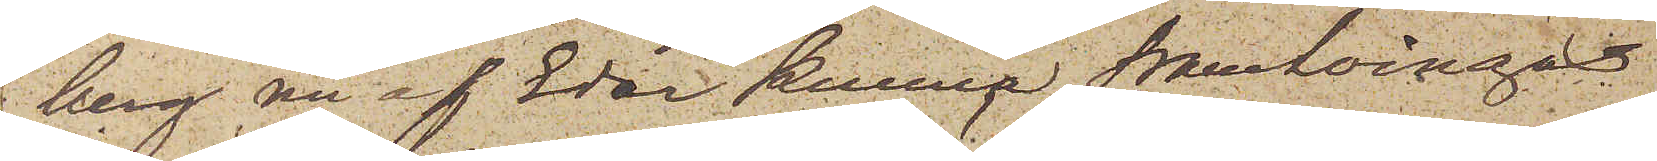berg nu af Eder kunna framtvingas
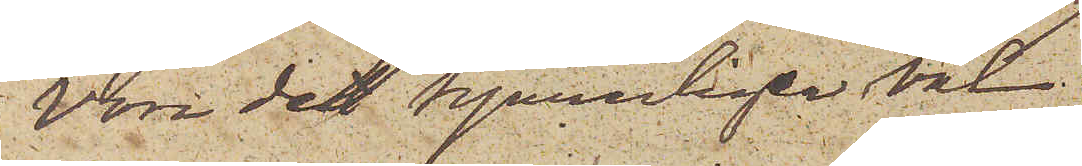vore det synnerligen väl.
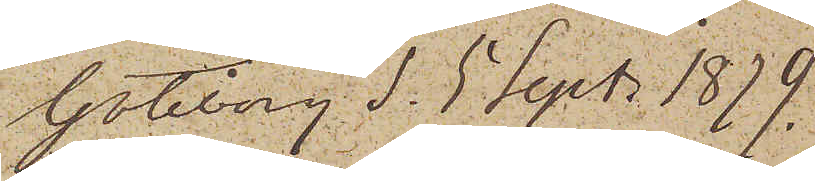Göteborg d. 5. Sept. 1879.
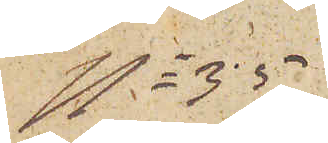No 35
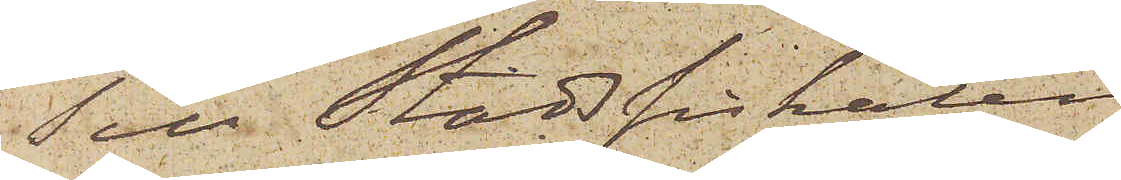Till Stadsfiskalen i
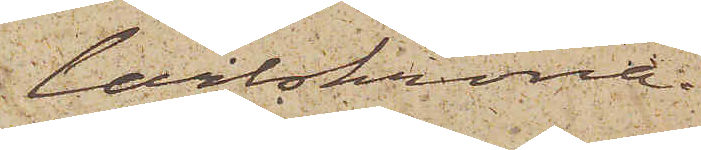Carlskrona.
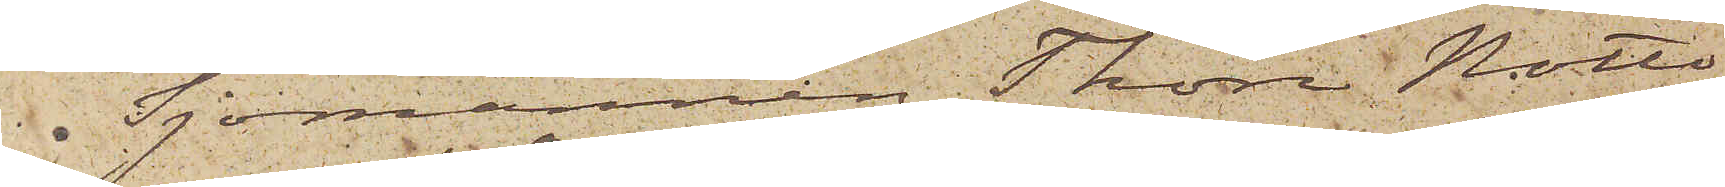 Sjömannen Thore Notto¬
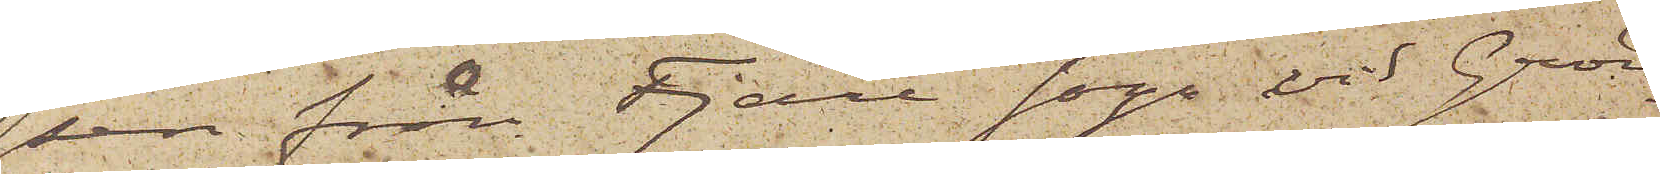sen från Fjäre sogn vid Grön¬
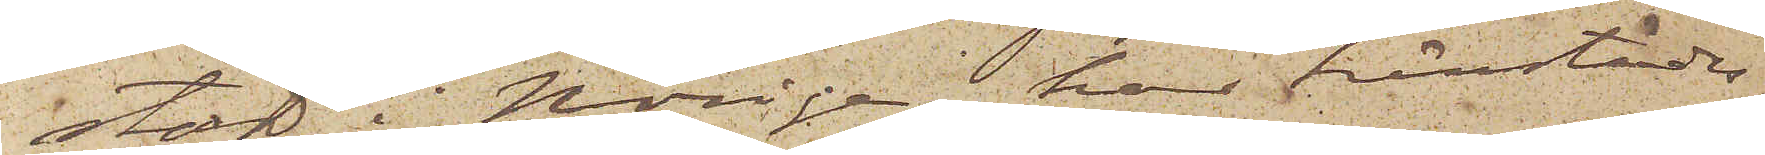stad i Norige har härstädes
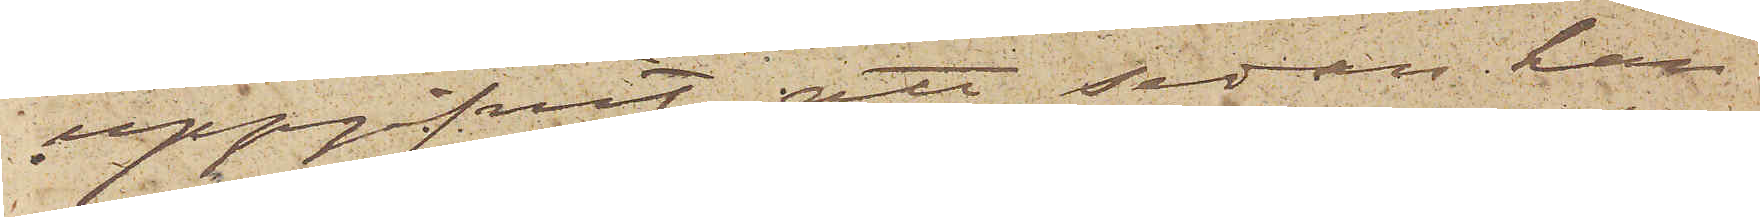uppgifvit, att sedan han
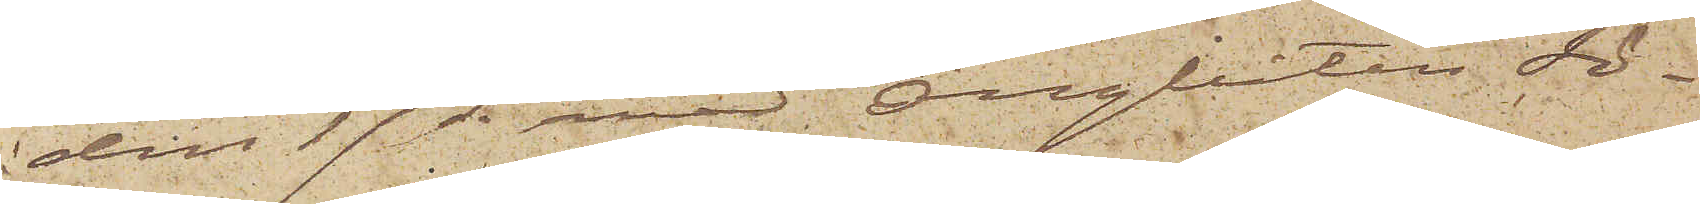den 17 ds med Ångbåten Sö¬
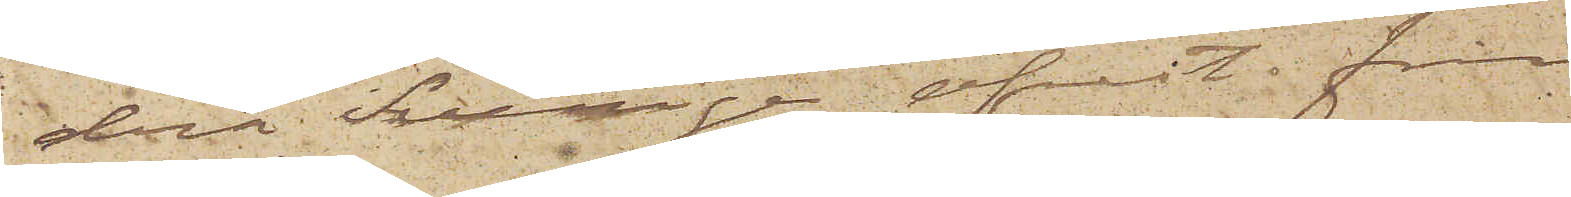dra Sverige afrest från
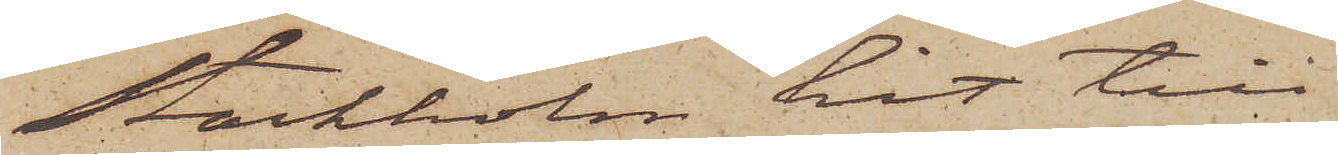Stockholm hit till
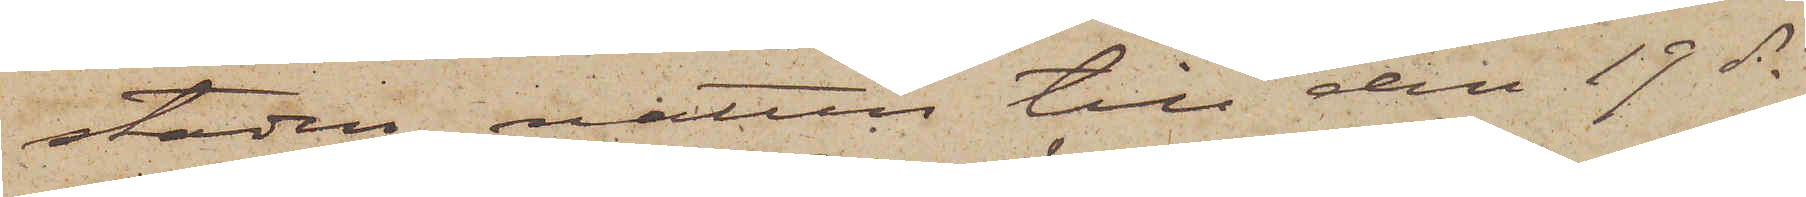staden natten till den 19 ds
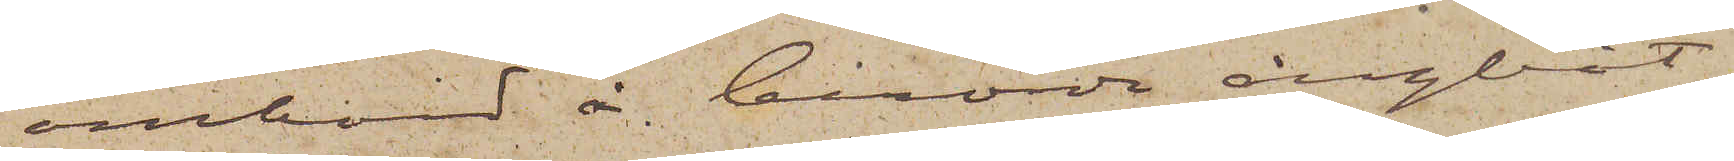ombord å berörde ångbåt,
